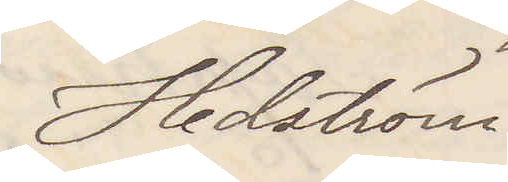Hedstöm
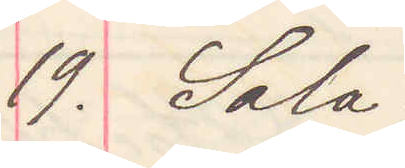19. Sala
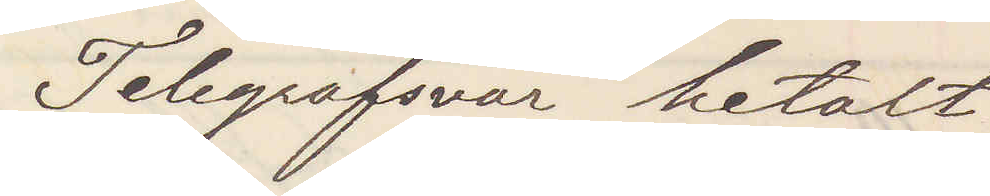Telegrafsvar betalt
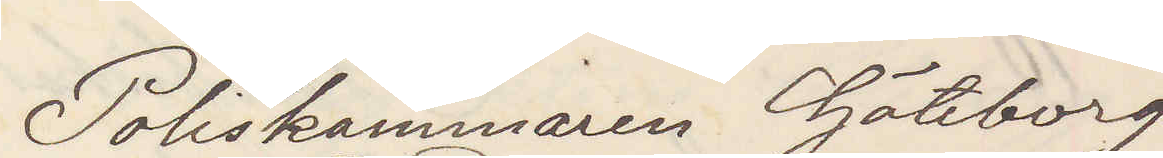Poliskammaren Göteborg
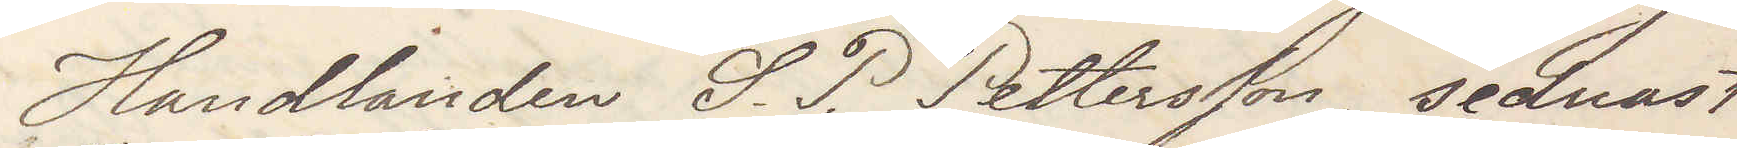Handlanden S. P. Pettersson sednast
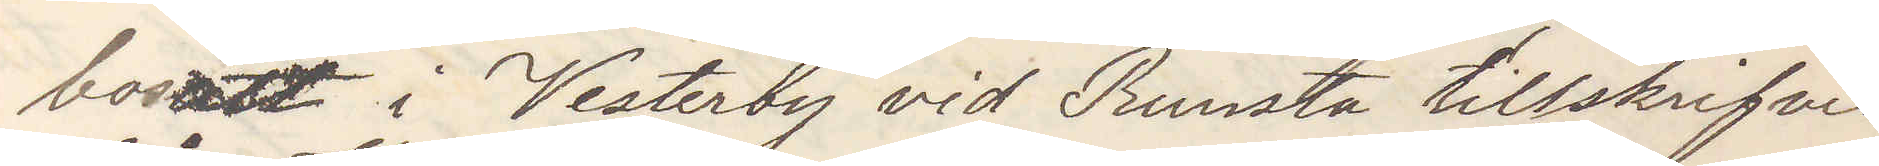bosatt i Vesterby vid Runsta tillskrifvit
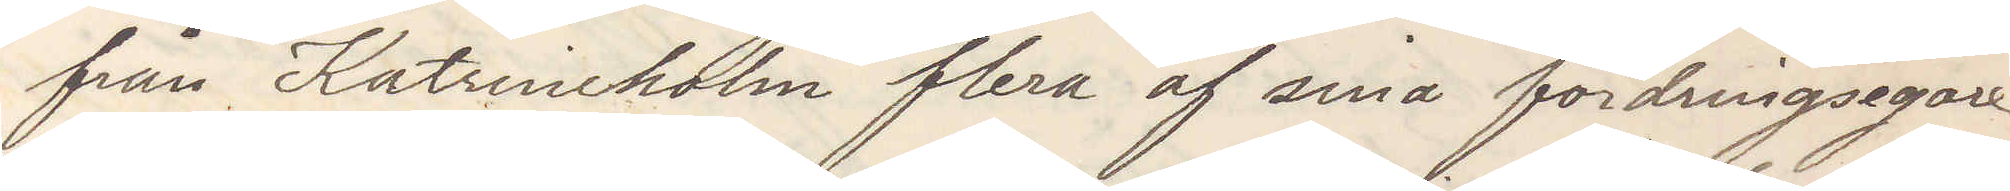från Katrineholm flera af sina fordringsegare
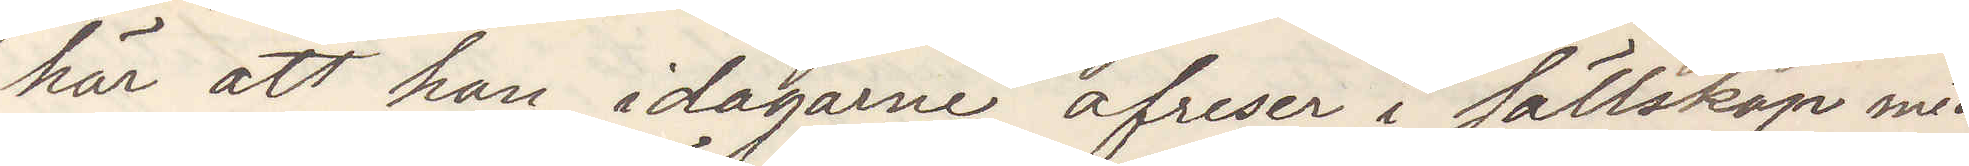att han i dagarne afreser i sällskap med
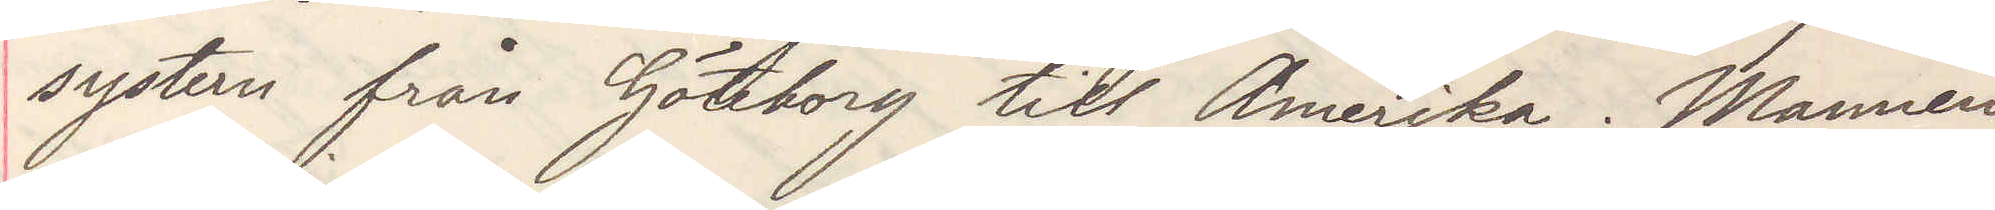systern från Göteborg till Amerika. Mannen
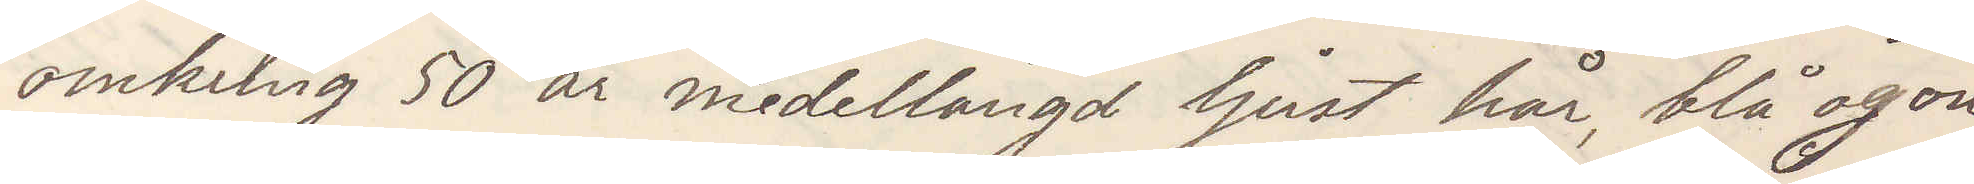omkring 50 år medellängd ljust hår, blå ögon
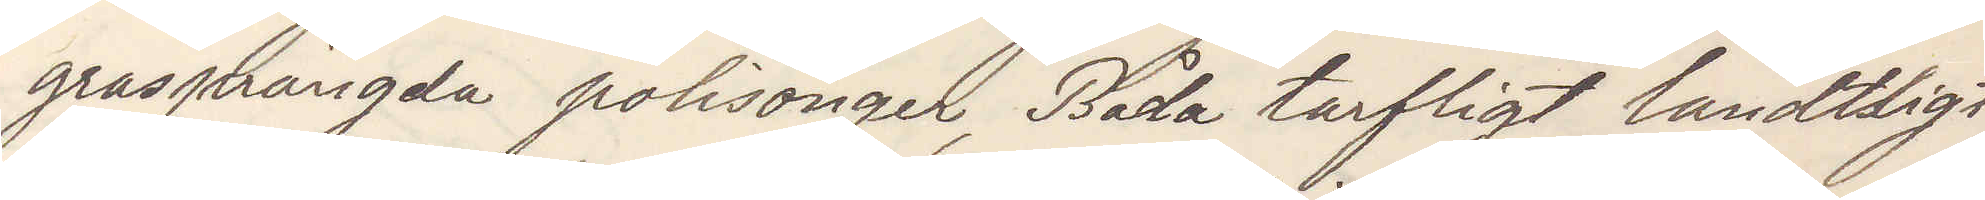grasprängda polisonger, Båda tarfligt landtligt
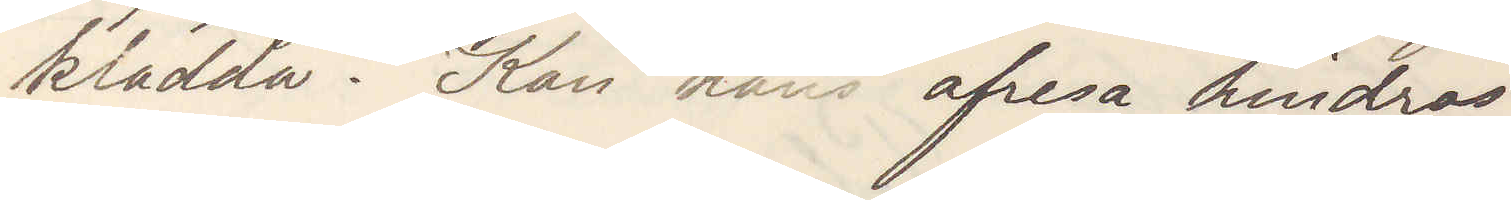klädda. Kan hans afresa hindras.
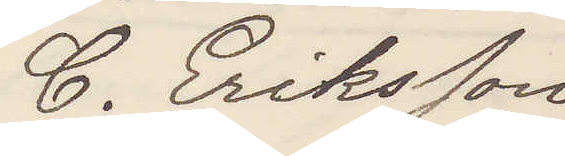C. Eriksson
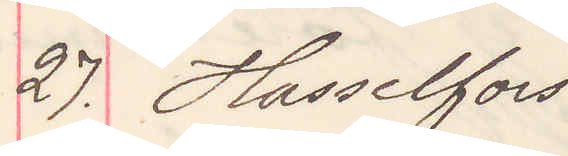27. Hasselfors
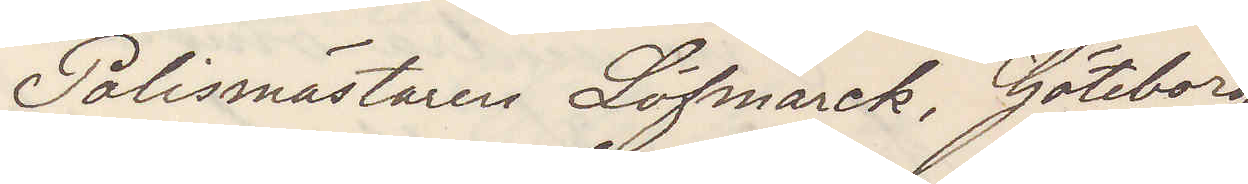Polismästaren Löfmark, Göteborg
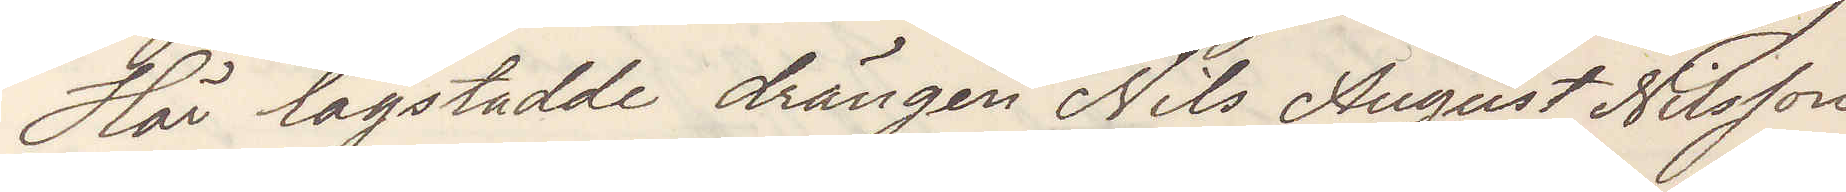Här lagstadde drängen Nils August Nilsson
